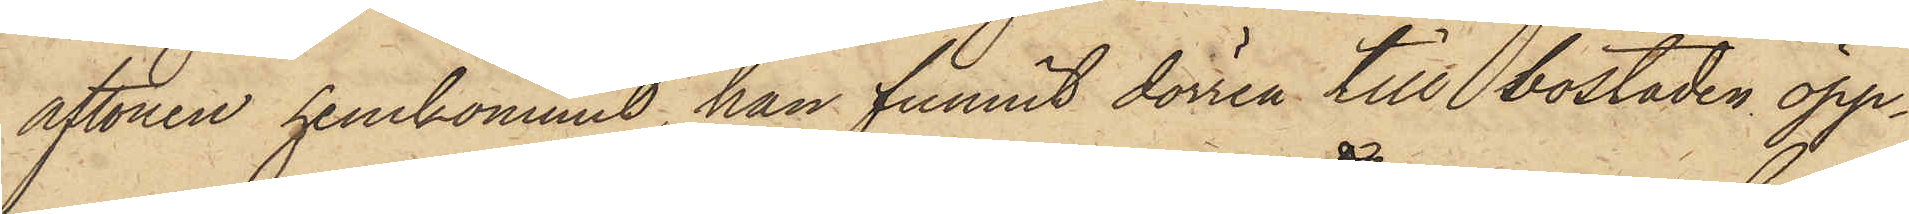aftonen hemkommit, han funnit dörren till bostaden öpp¬
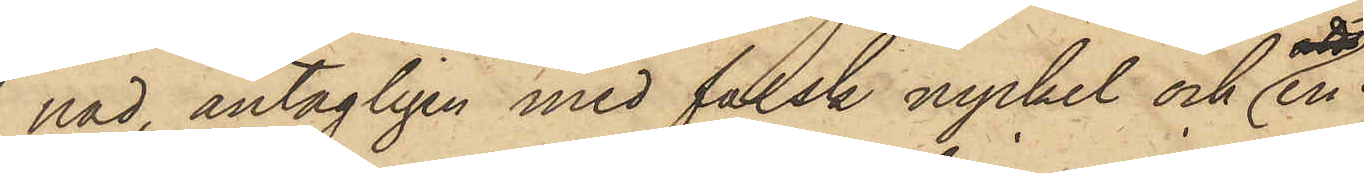nad, antagligen med falsk nyckel och en
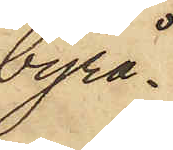byrå¬
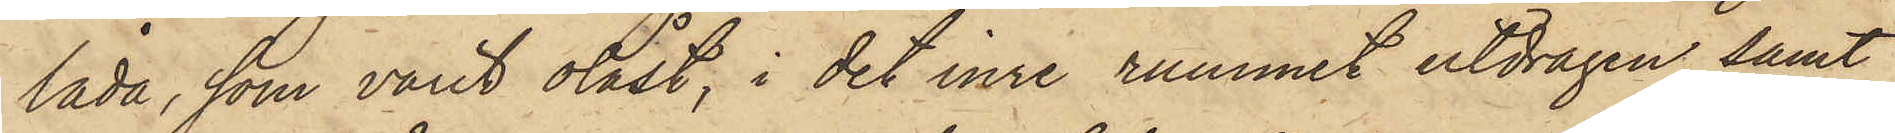låda, som varit olåst, i det inre rummet utdragen, samt
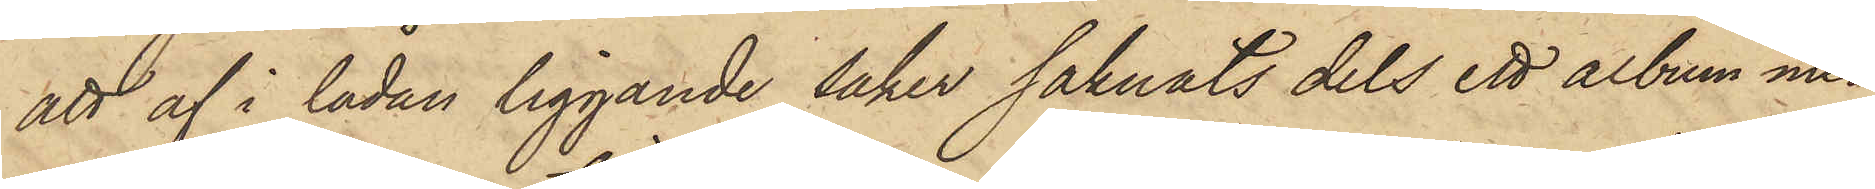att af i lådan liggande saker saknats dels ett album med
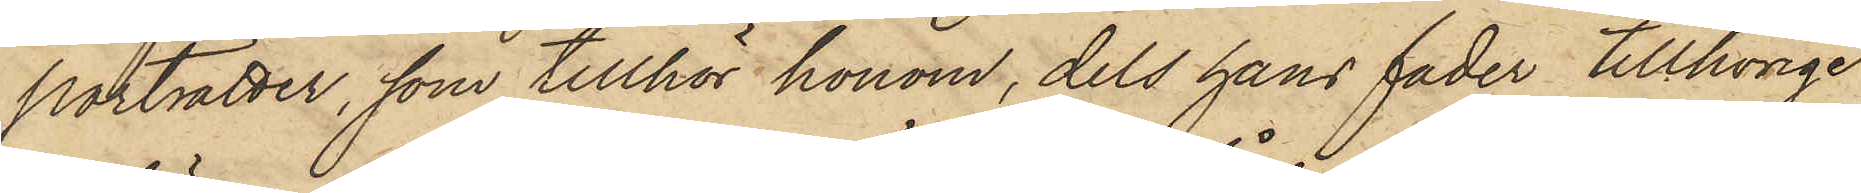porträtter, som tillhör honom, dels hans fader tillhörige
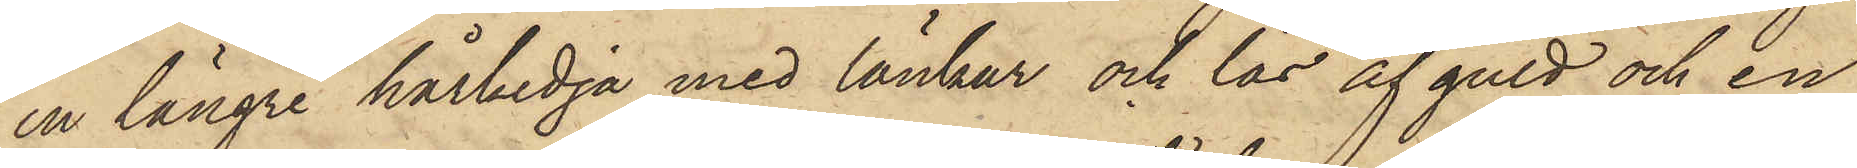en längre hårkedja med länkar och lås af guld och en
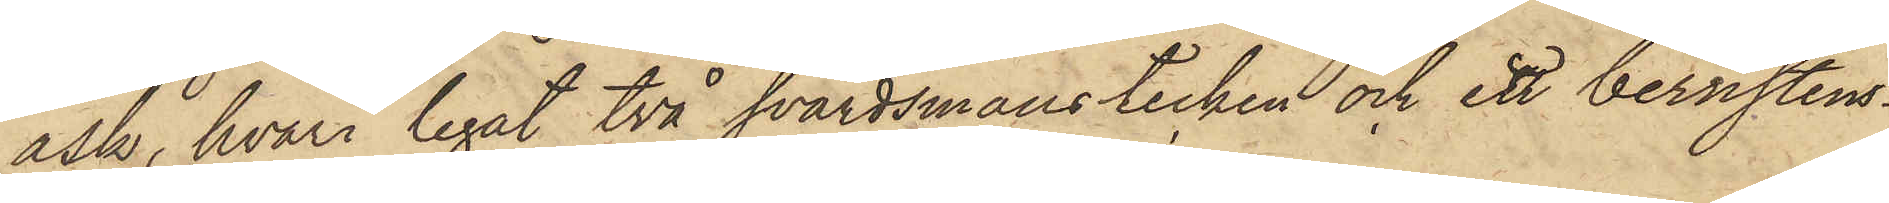ask, hvari legat två svärdsmanstecken och ett bernsten¬
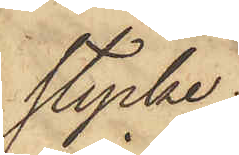stycke;
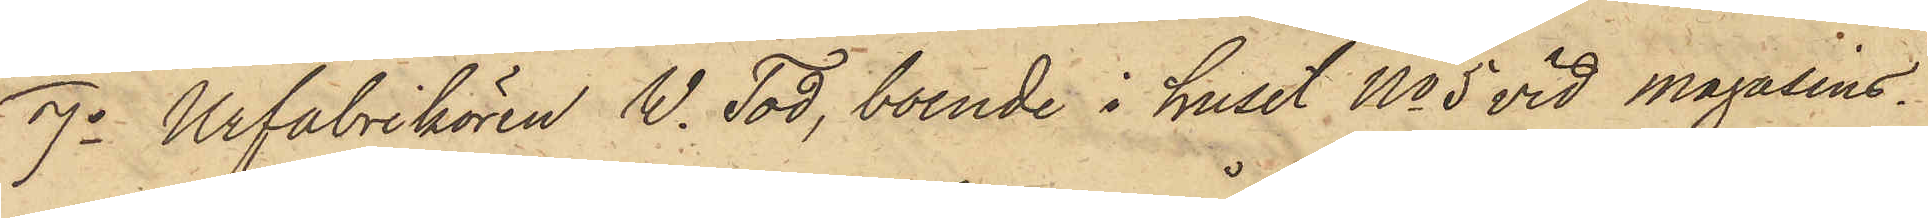7o Urfabrikören W. Tod, boende i huset No 5 vid Magasins¬
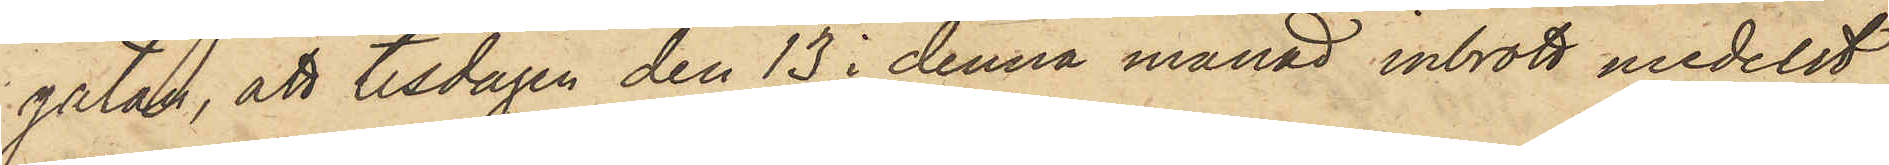gatan, att tisdagen den 13 i denna månad inbrott medelst
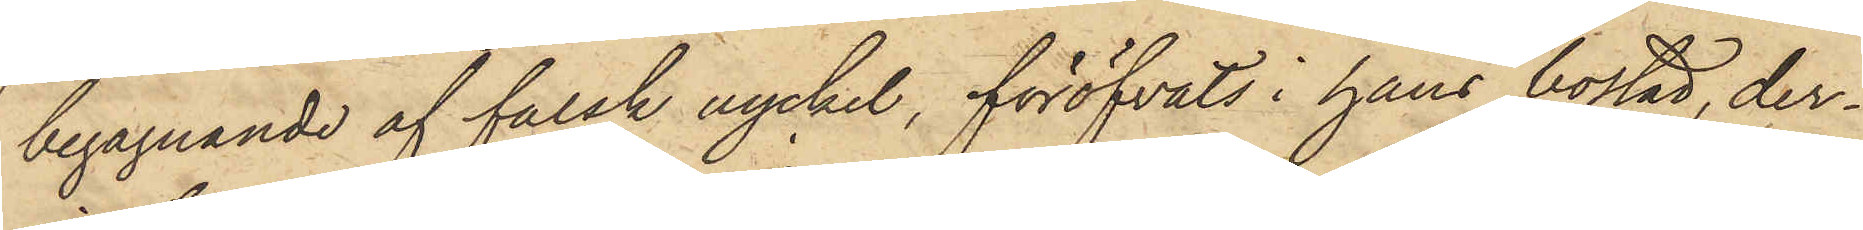begagnande af falsk nyckel, föröfvats i hans bostad, der¬
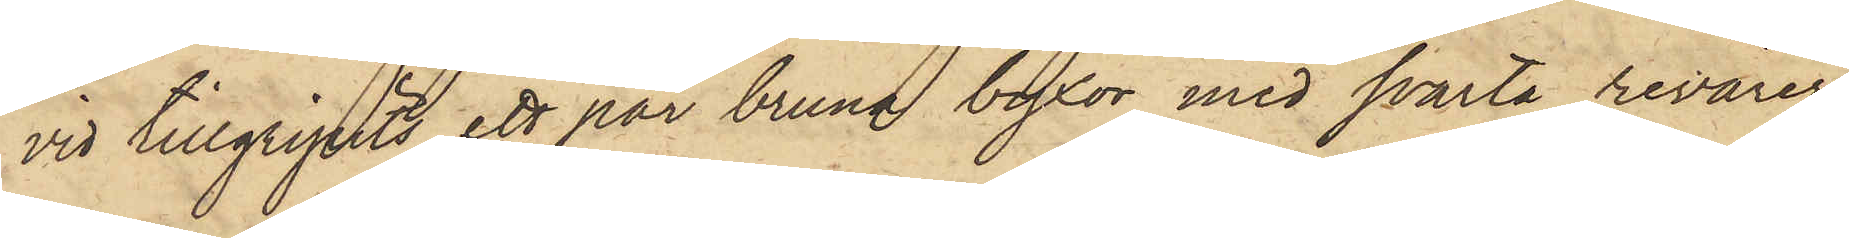vid tillgripits ett par bruna byxor med svarta revärer,
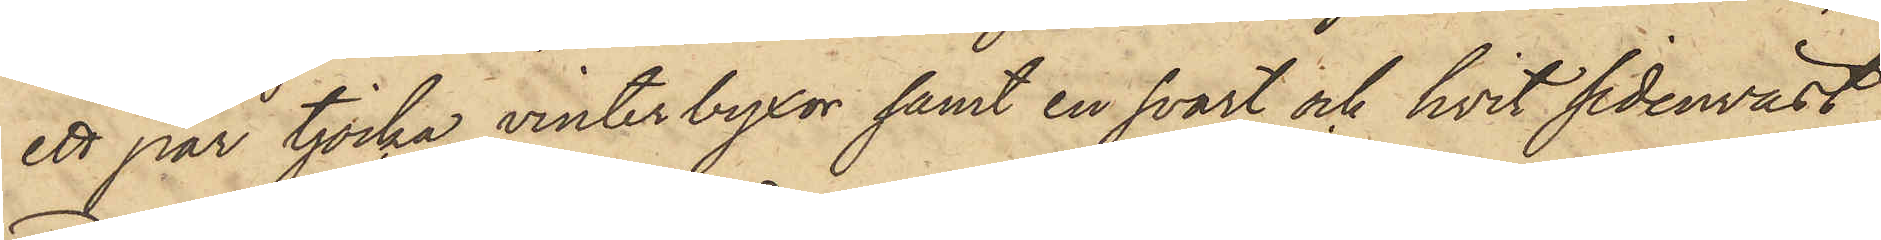ett par tjocka vinterbyxor samt en svart och hvit sidenväst;
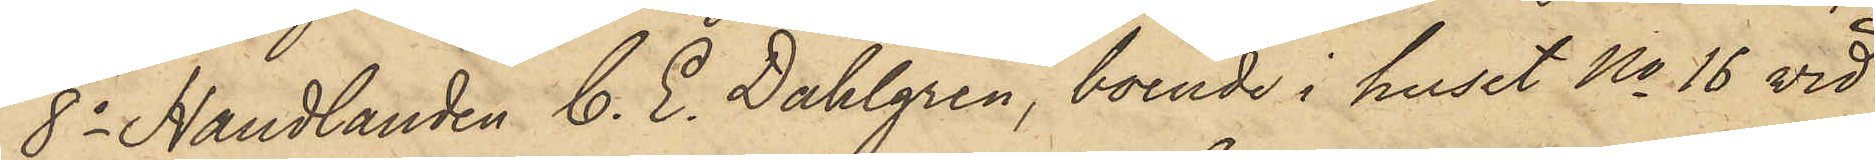8o Handlanden C. E. Dahlgren, boende i huset No 16 vid
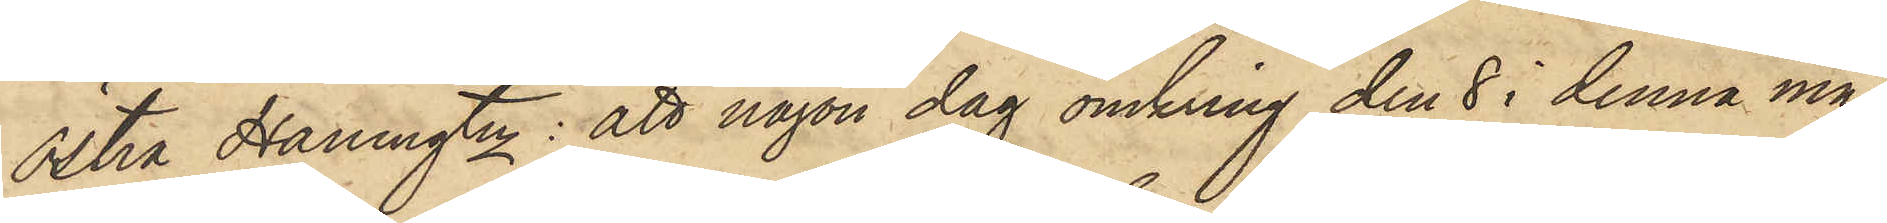Östra Hamngtn: att någon dag omkring den 8 i denna må¬
